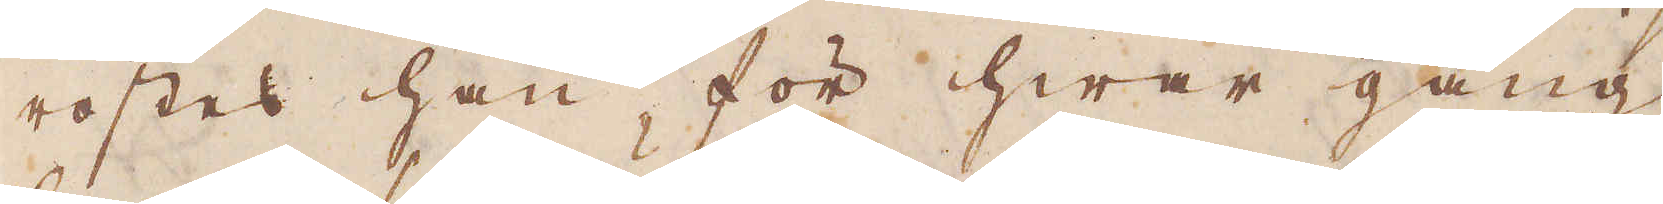rostes han för hwar gång
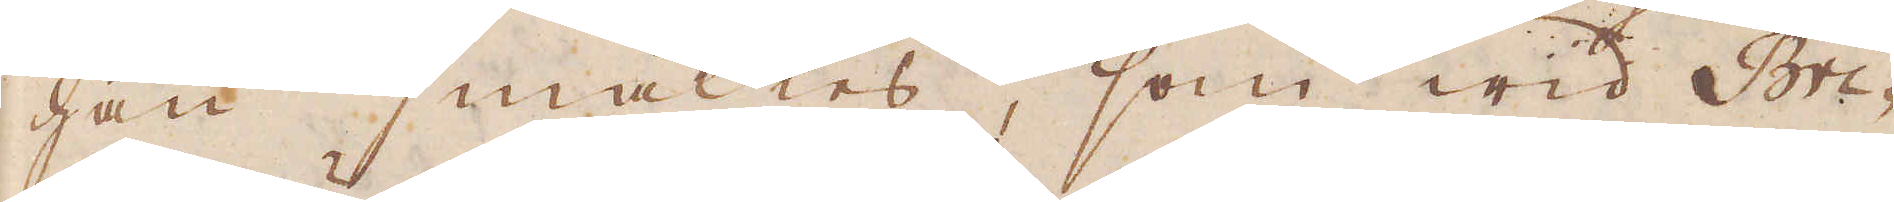han smältes, som wid Bri-
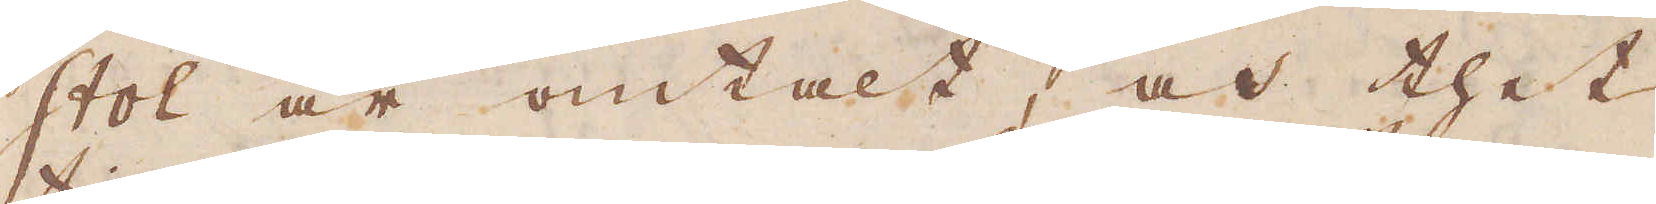stol är omtalt, at thet
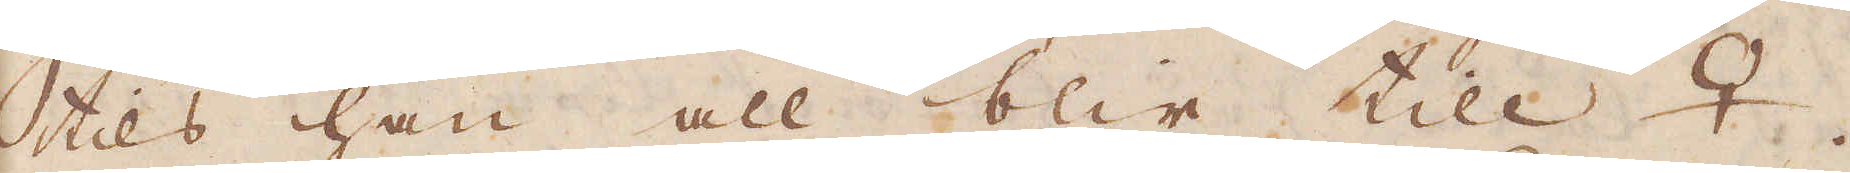tils han all blir til ♀.
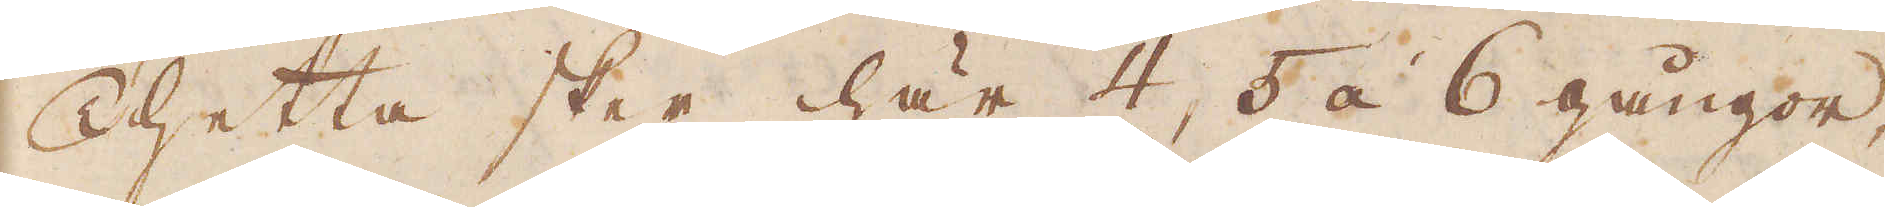Thetta sker här 4, 5 à 6 gångor,
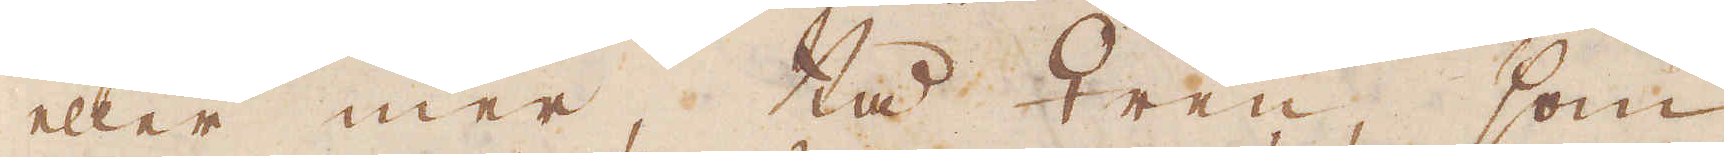eller mer, tå ♀ren, som
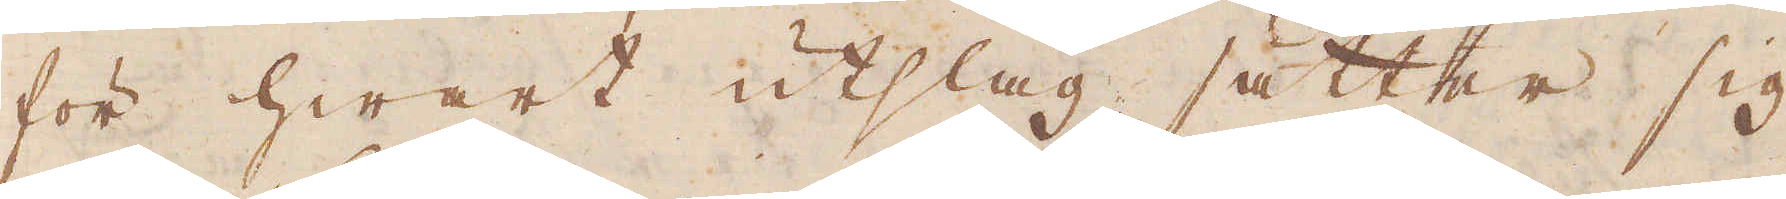för hwart utslag, sätter sig
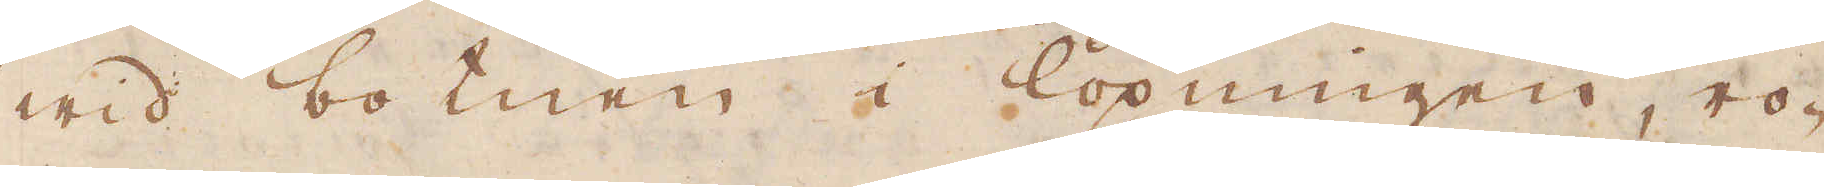wid botnen i löpningen ro-
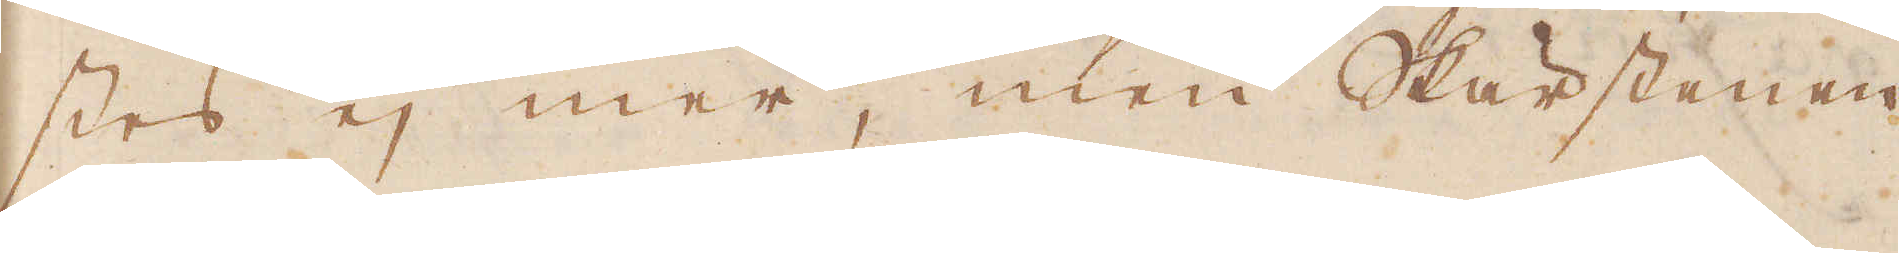stes ej mer men Skärstenen
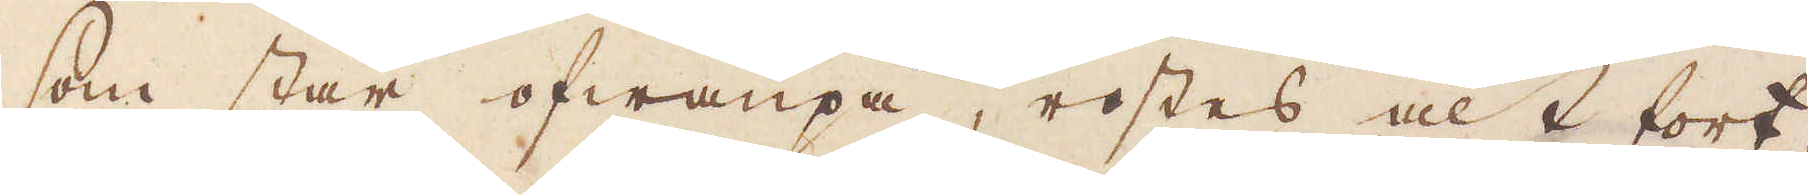som står ofwanpå, rostes alt fort-
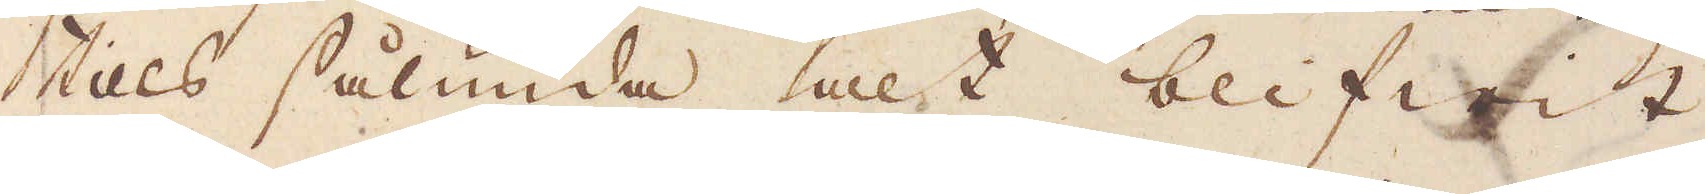tils sålund alt blifwit
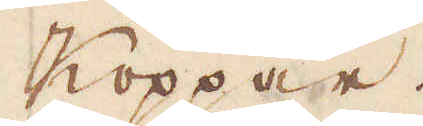koppar.
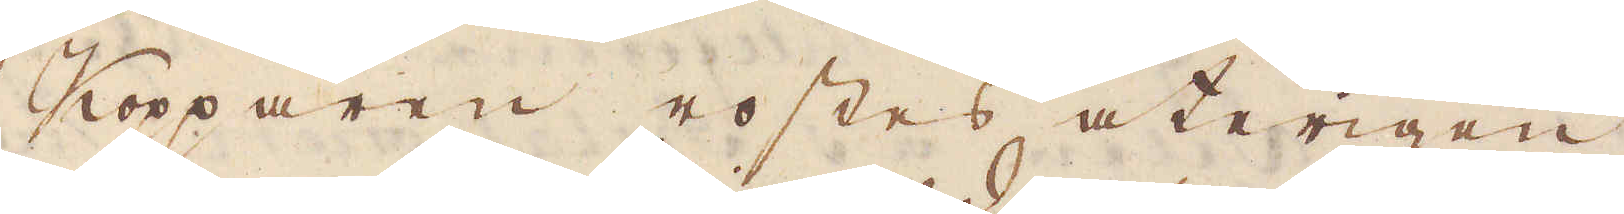Kopparen rostes återigen
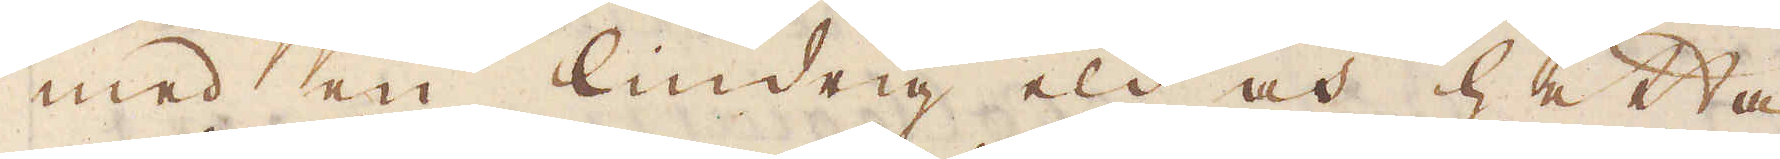med en lindrig eld och hetta
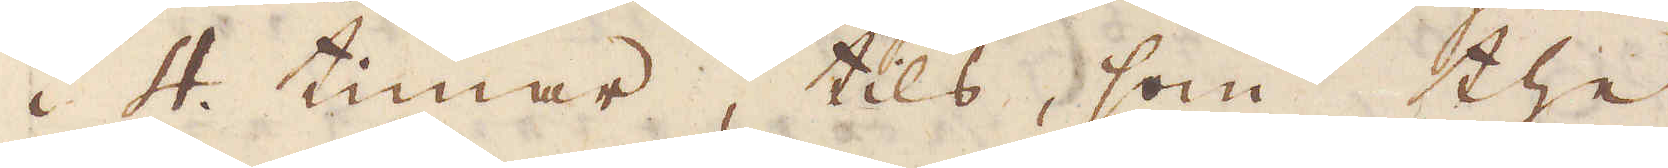i 4. timar, tils, som the
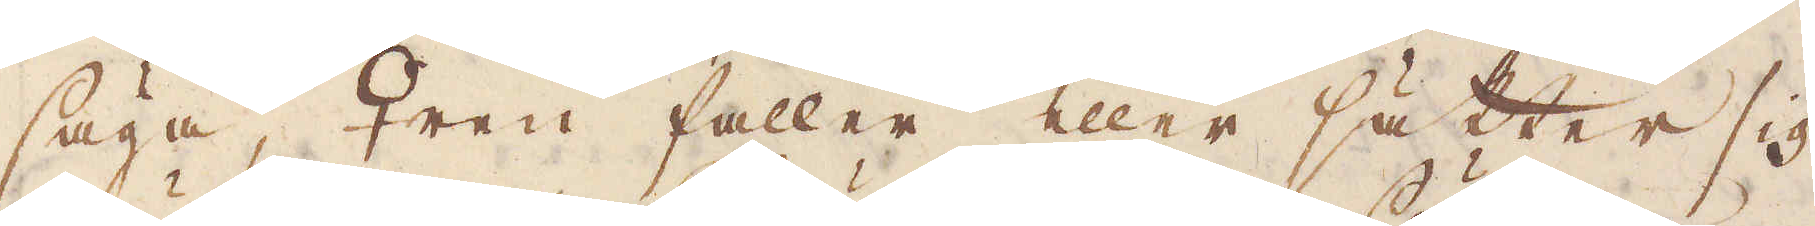säga, ♀ren faller eller sätter sig
